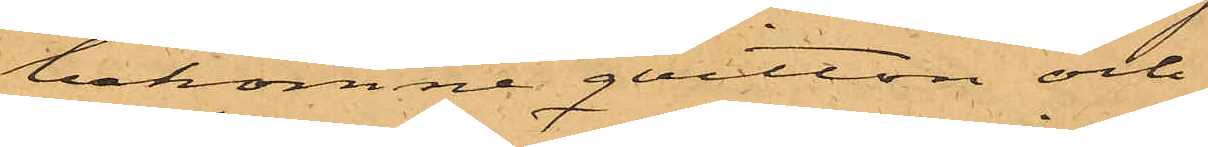bekomne qvitton och
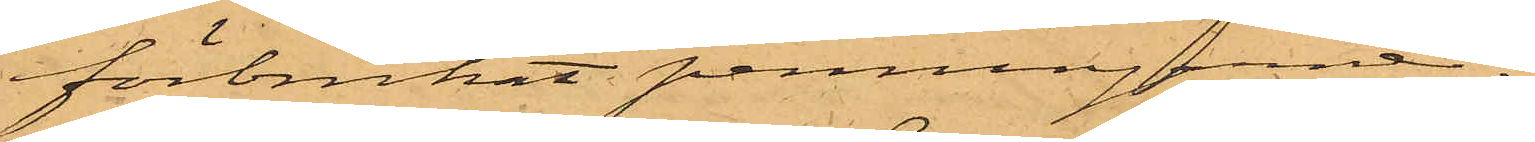förbrukat penningarne.
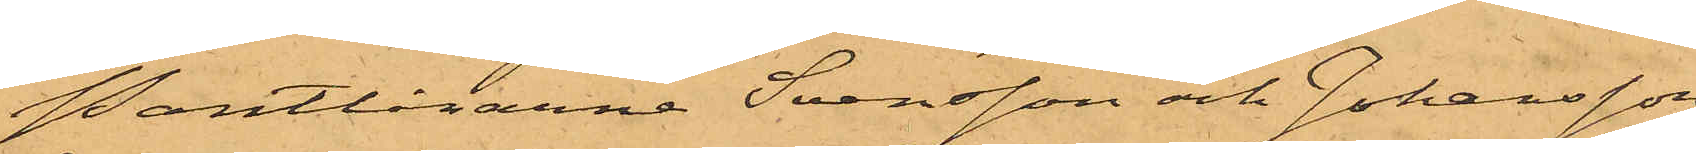Pantlånarna Svensson och Johansson
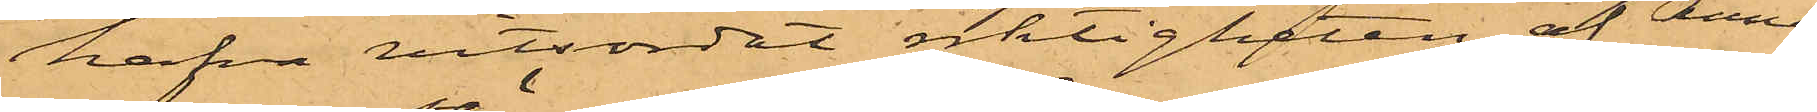hafva vitsordat riktigheten af Anna
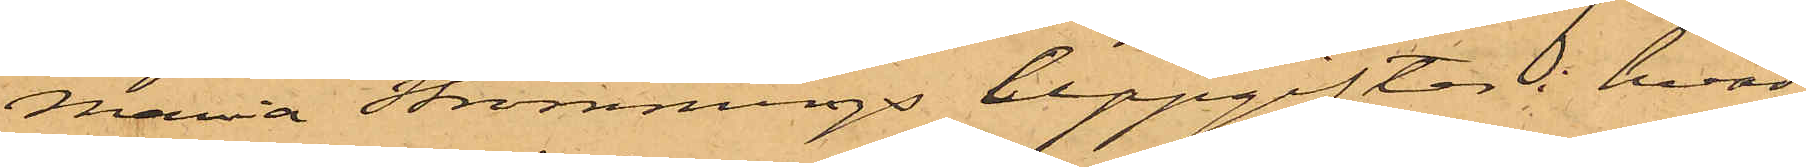Maria Strömmings uppgifter i hvad
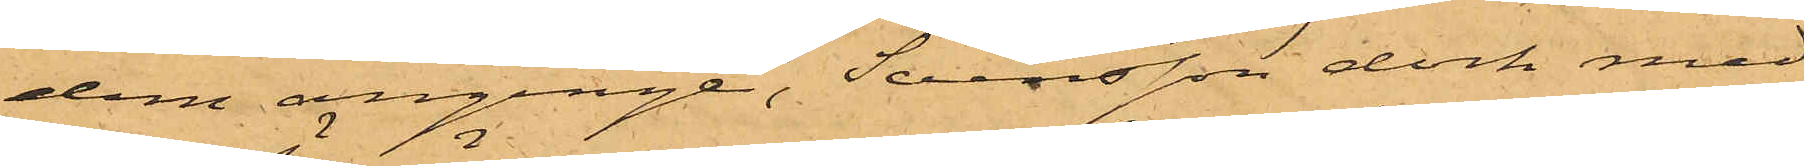dem anginge, Svensson dock med
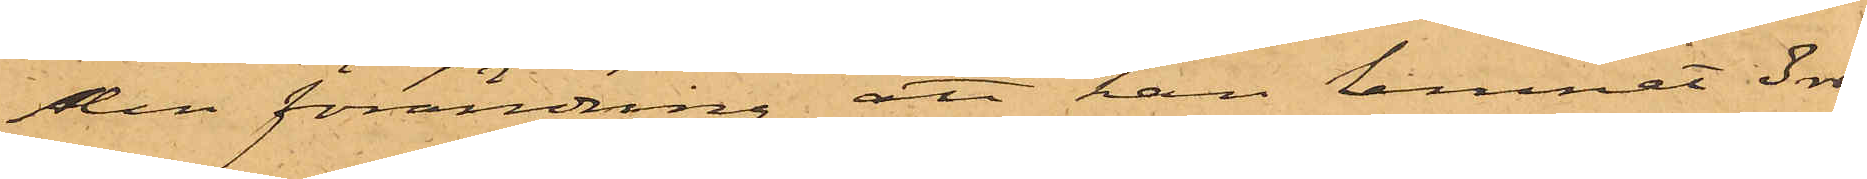den förändring att han lemnat 3 rdr
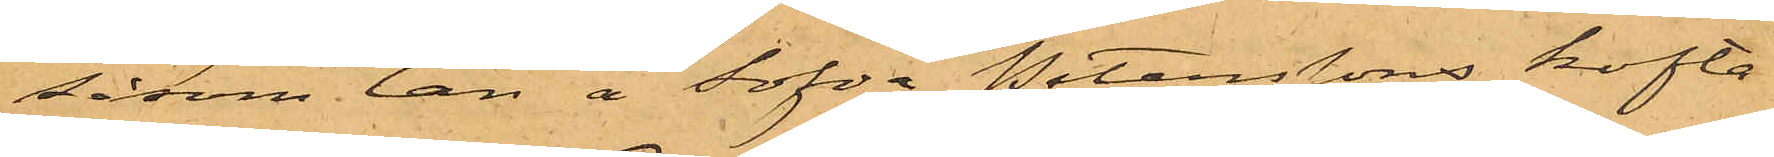såsom lån å Sofia Peterssons kofta.
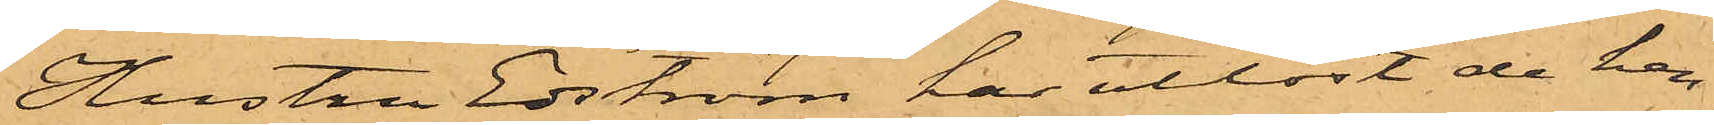Hustru Edström har utlöst de hen¬
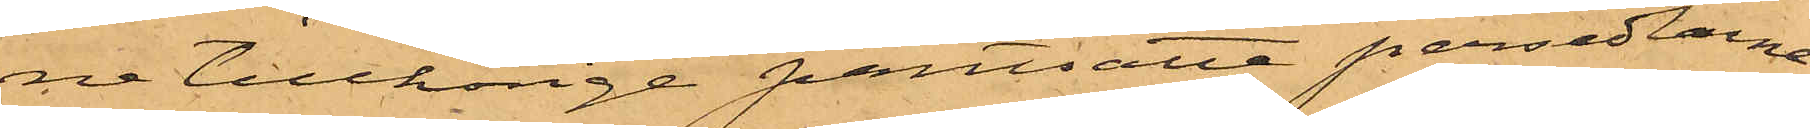ne tillhörige pantsatte persedlarne.
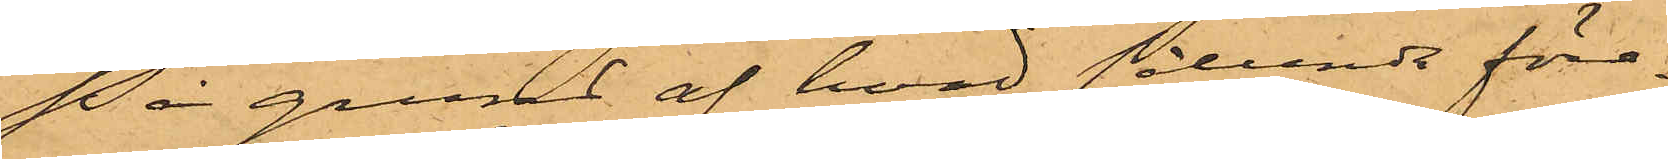På grund af hvad sålunda före¬
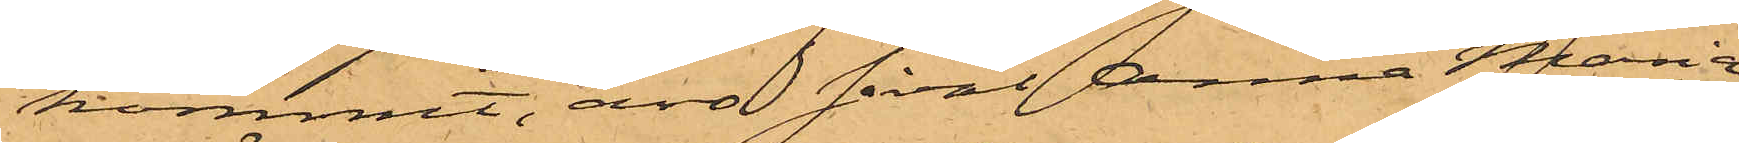kommit, äro såväl Anna Maria
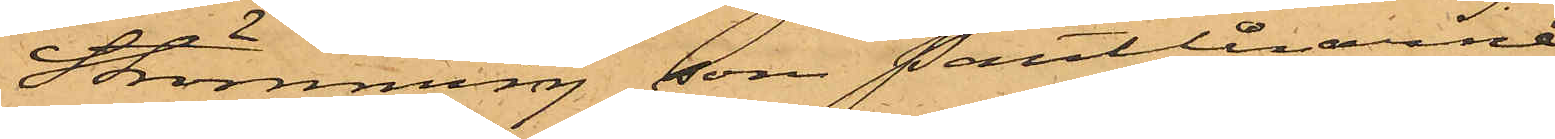Strömming, som Pantlånarne
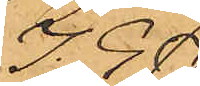J. G.
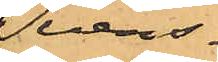Svens¬
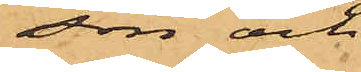son och
